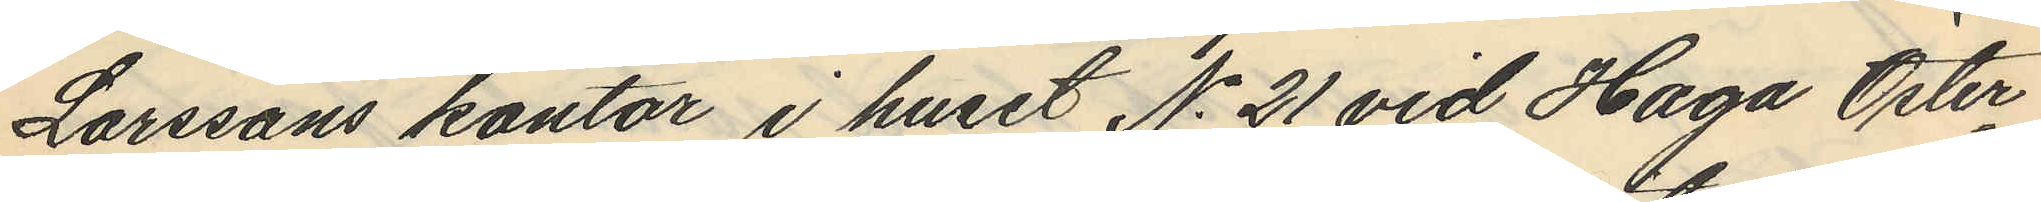Larssons kontor i huset No 21 vid Haga Öster¬
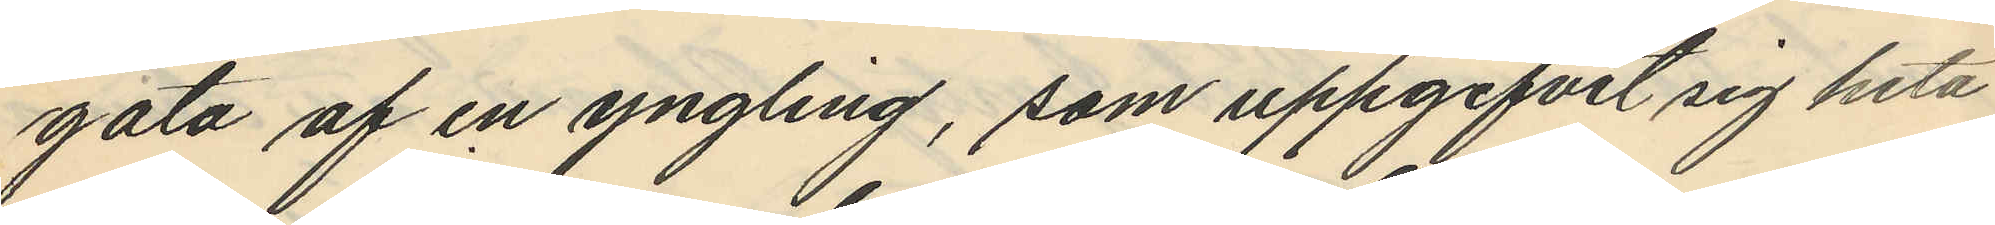gata af en yngling, som uppgifvit sig heta
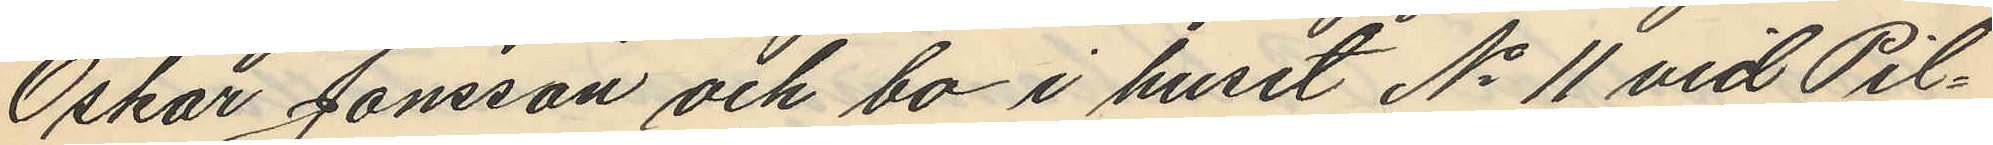Oskar Jonsson och bo i huset No 11 vid Pil¬
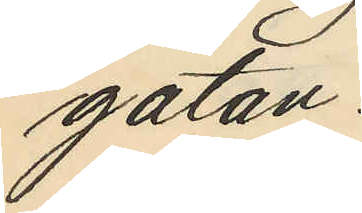gatan.
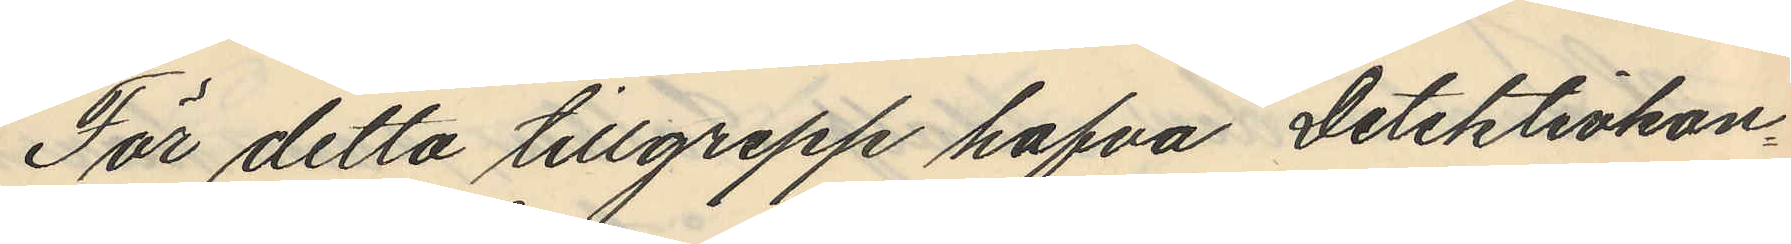För detta tillgrepp hafva Detektivkon¬
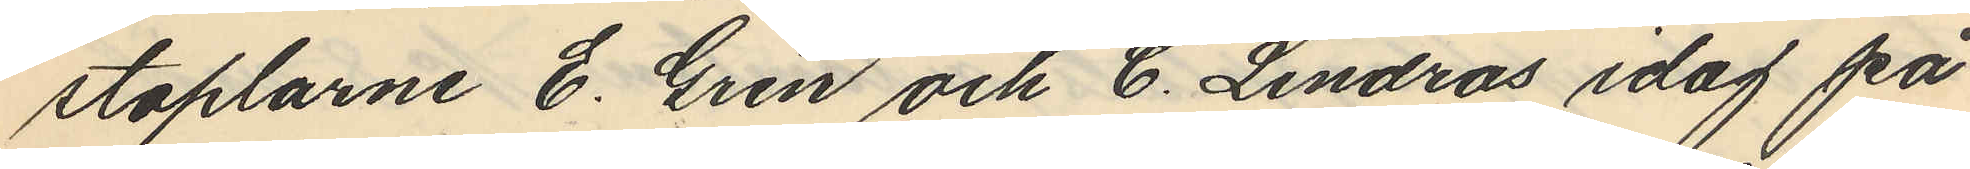staplarne E. Gren och C. Lindros idag på
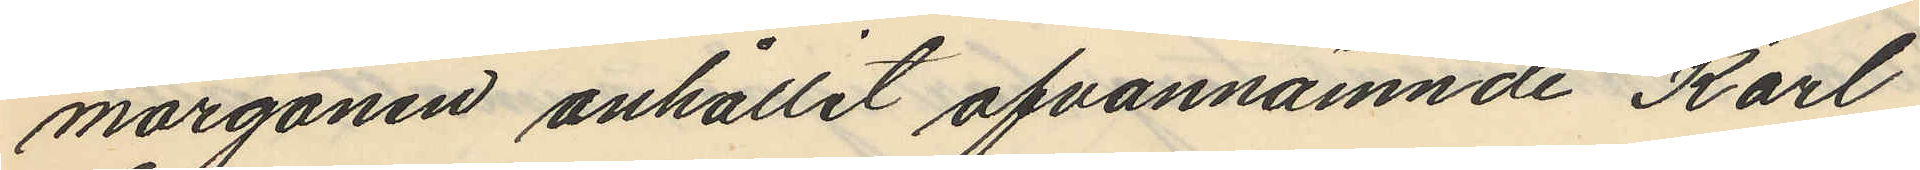morgonen anhållit ofvannämnde Karl
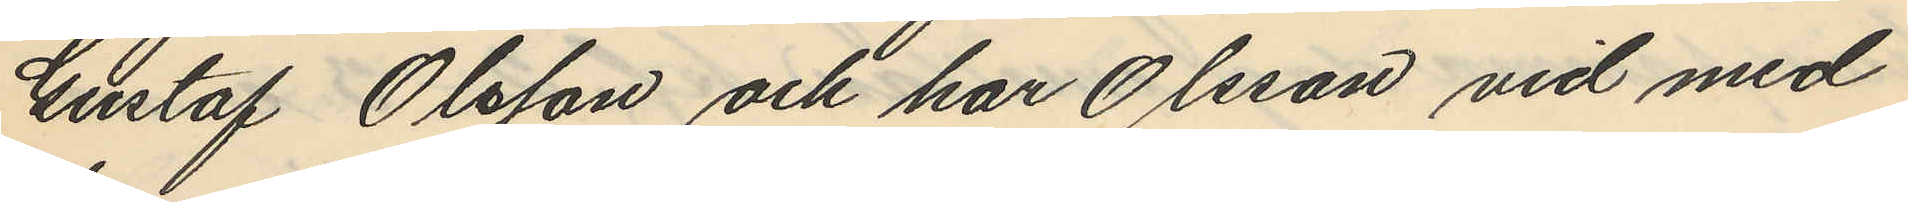Gustaf Olsson och har Olsson vid med
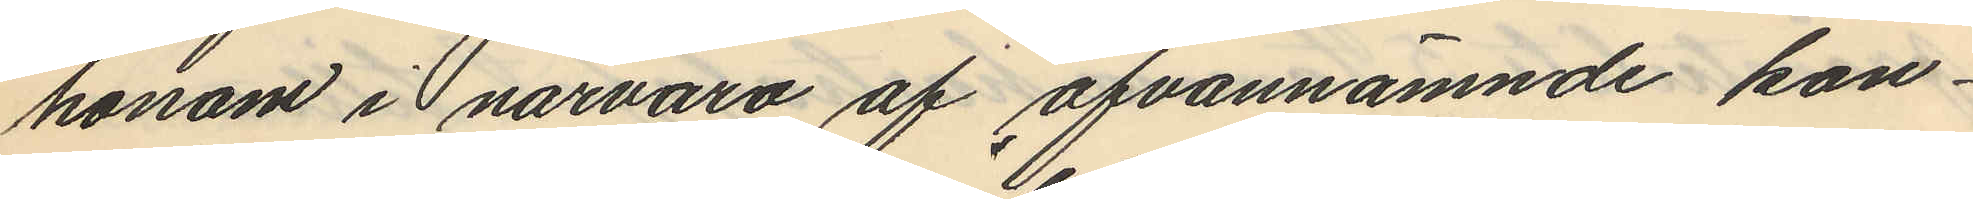honom i närvaro af ofvannämnde kon¬
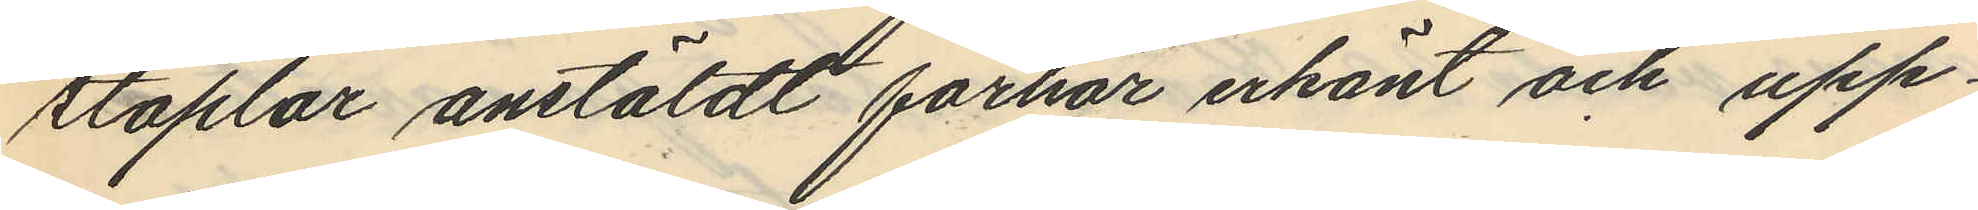staplar anstäldt förhör erkänt och upp¬
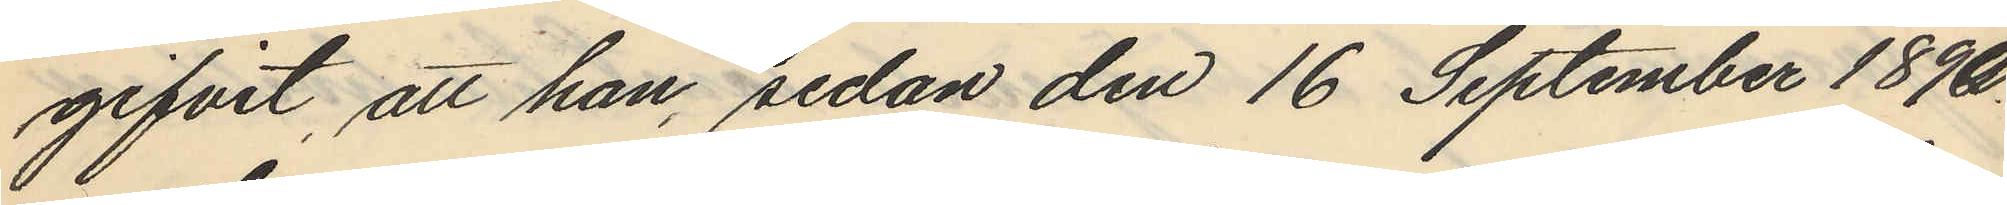gifvit, att han, sedan den 16 September 1890
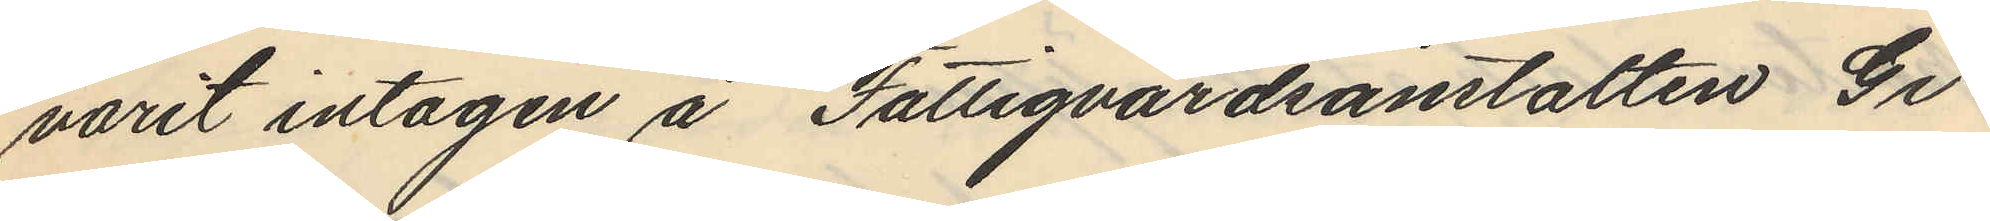varit intagen å Fattigvårdsanstalten Gi¬
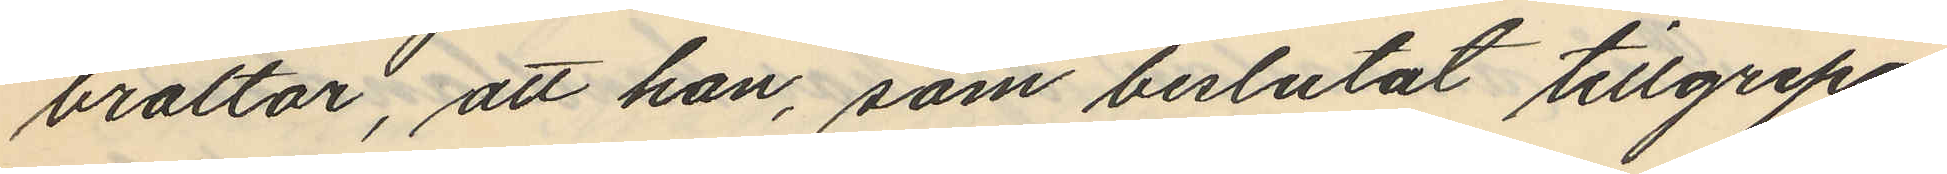braltar, att han, som beslutat tillgripa
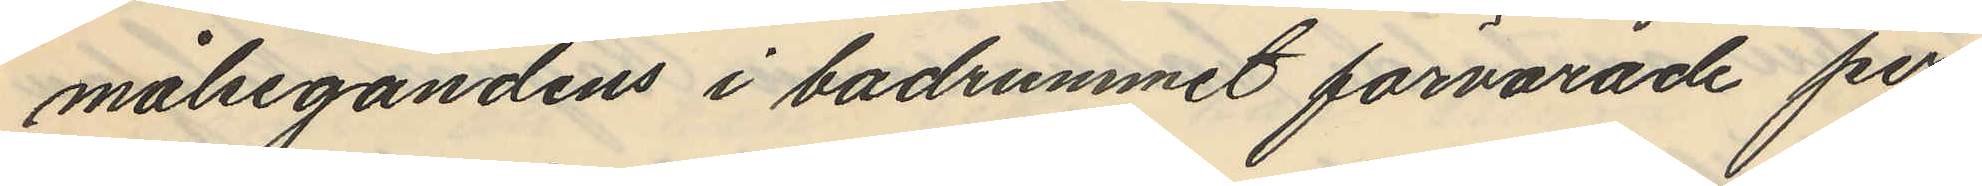målsegandens i badrummet förvarade per¬
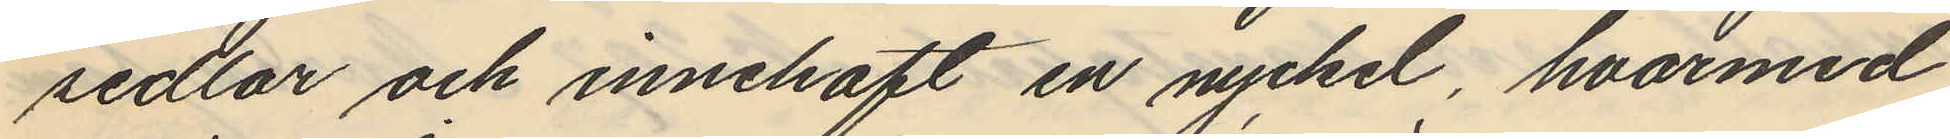sedlar och innehaft en nyckel, hvarmed
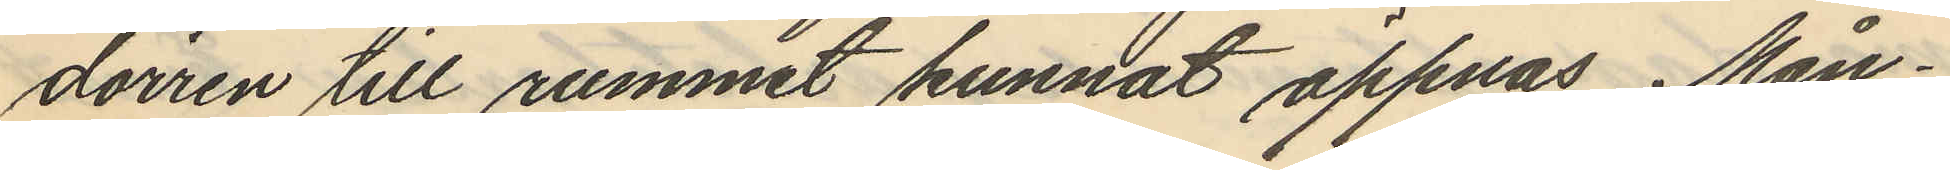dörren till rummet kunnat öppnas Mån¬
